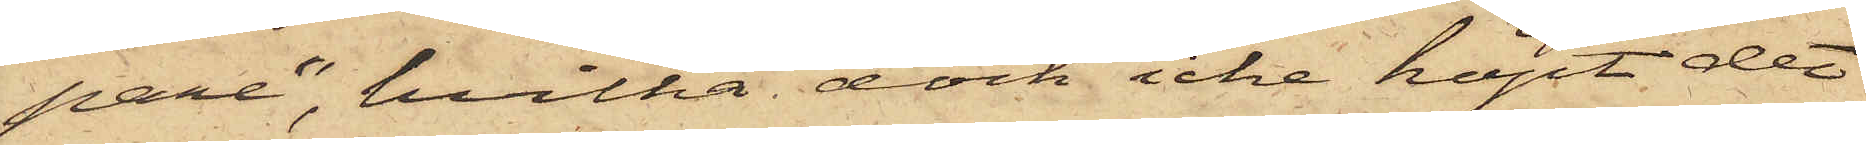pare", hvilka dock icke köpt det
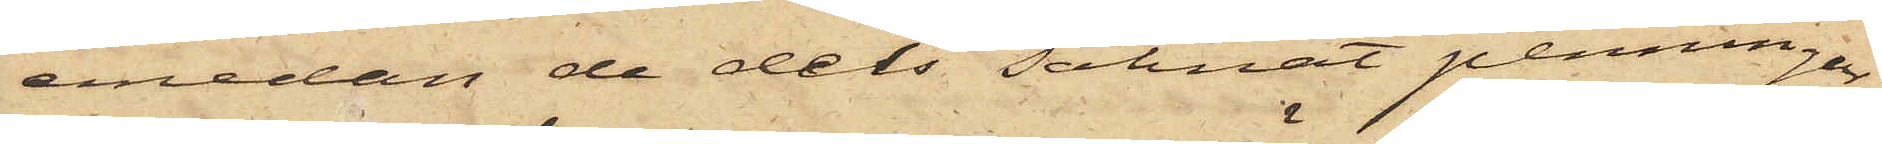emedan de dels saknat penningar
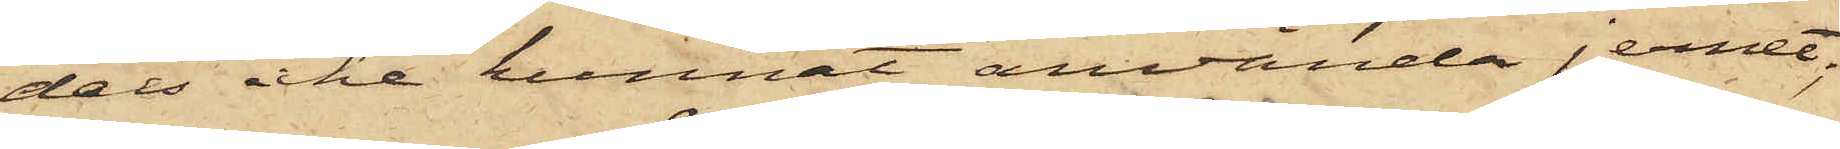dels icke kunnat använda jernet;
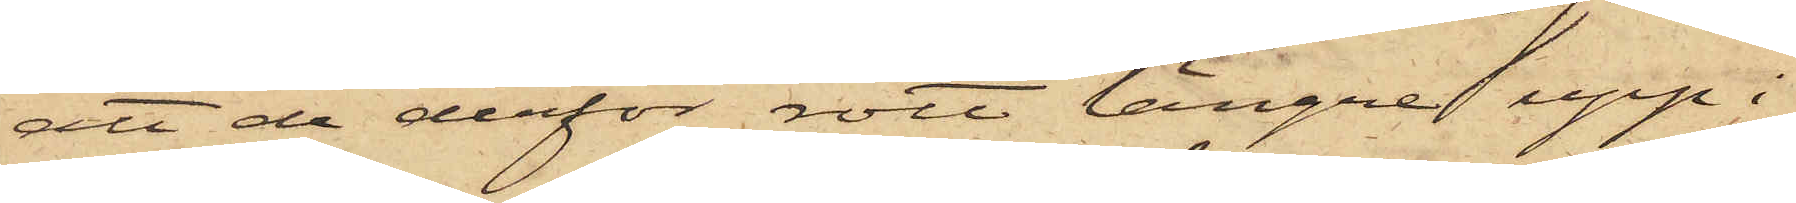att de derför rott längre upp i
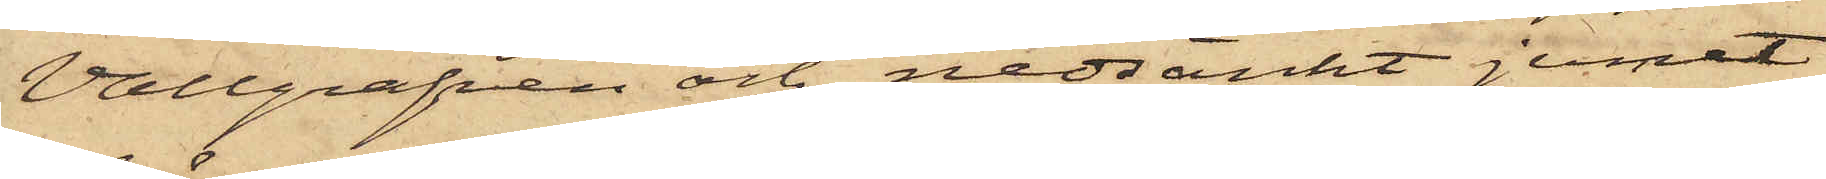Vallgrafven och nedsänkt jernet
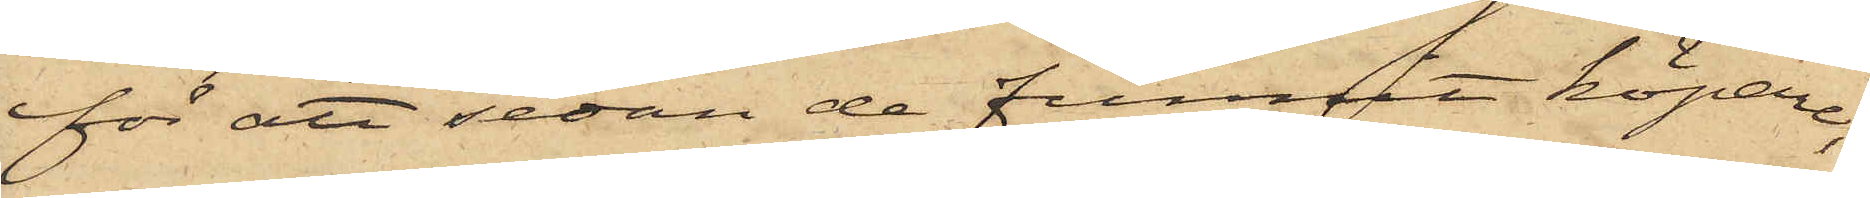för att sedan de funnit köpare,
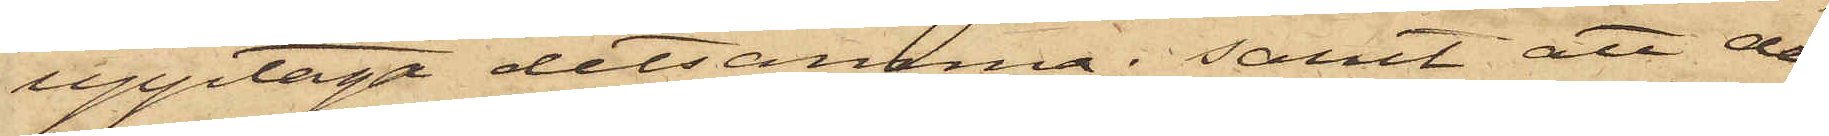upptaga detsamma; samt att de
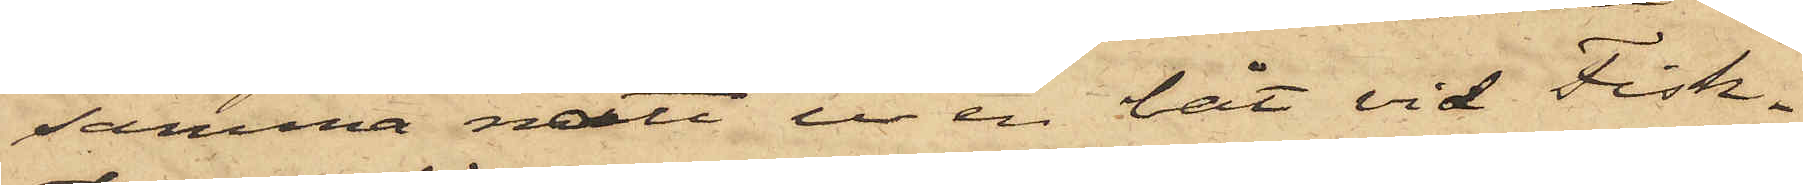samma natt ur en båt vid Fisk¬
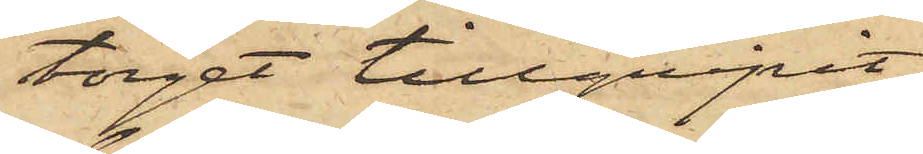torget tillgripit
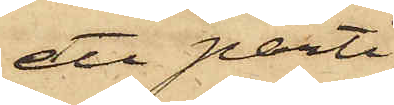ett parti
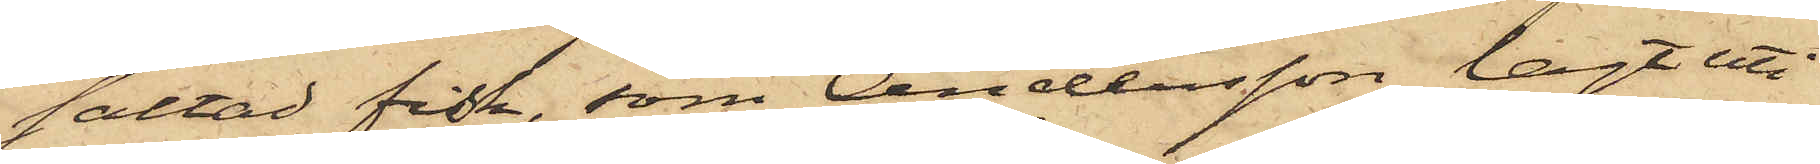saltad fisk, som Andersson lagt uti
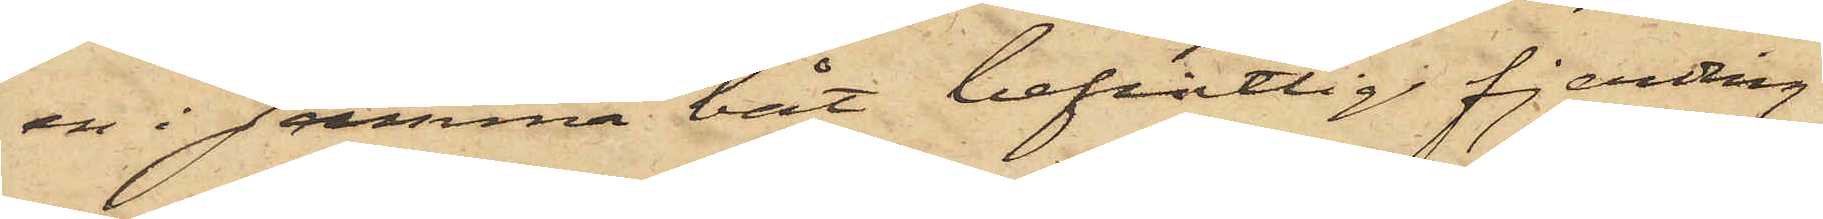en i samma båt befintlig fjerding
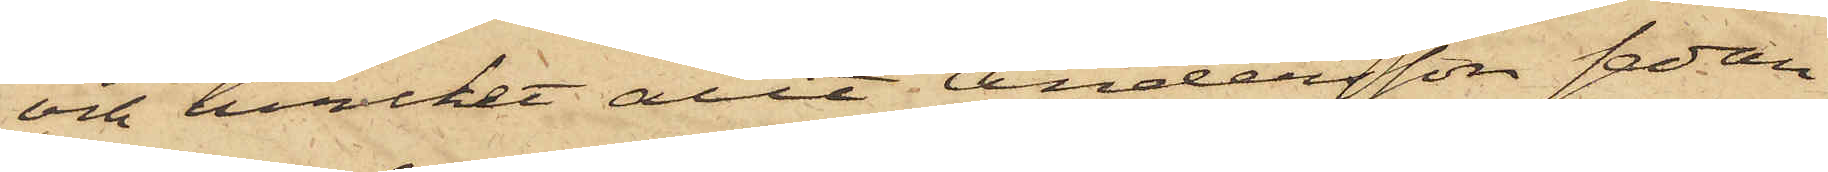och hvilket allt Andersson sedan
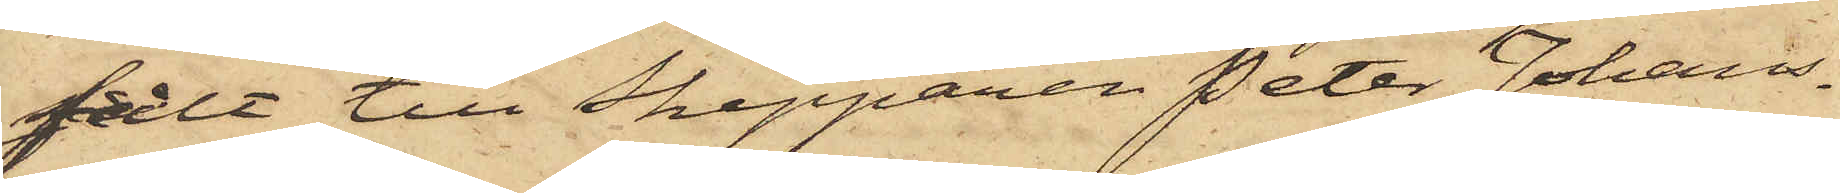sålt till Skepparen Peter Johans¬
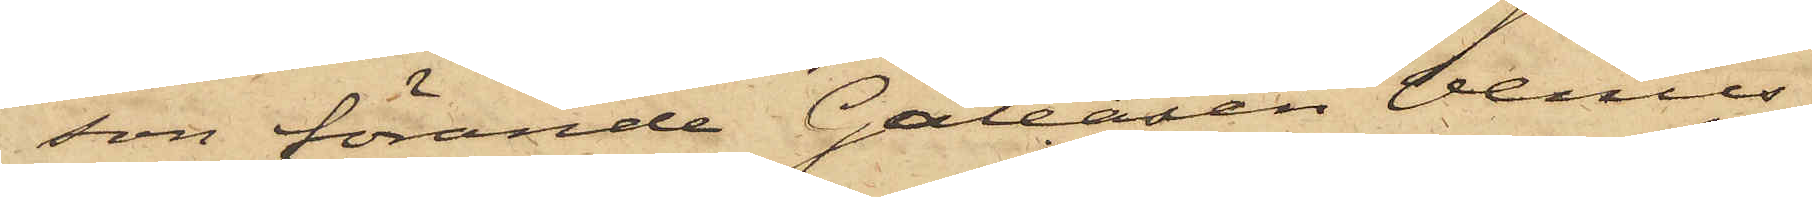son förande Galeasen Venus
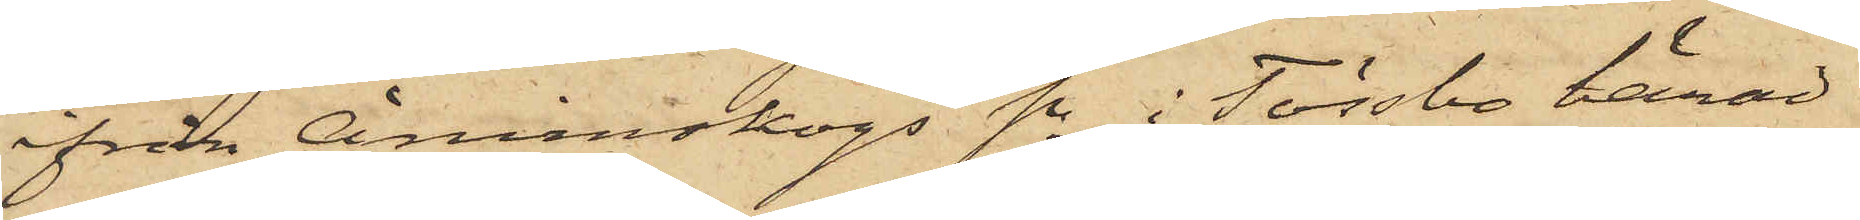ifrån Ånimskogs Sn i Tössbo härad
